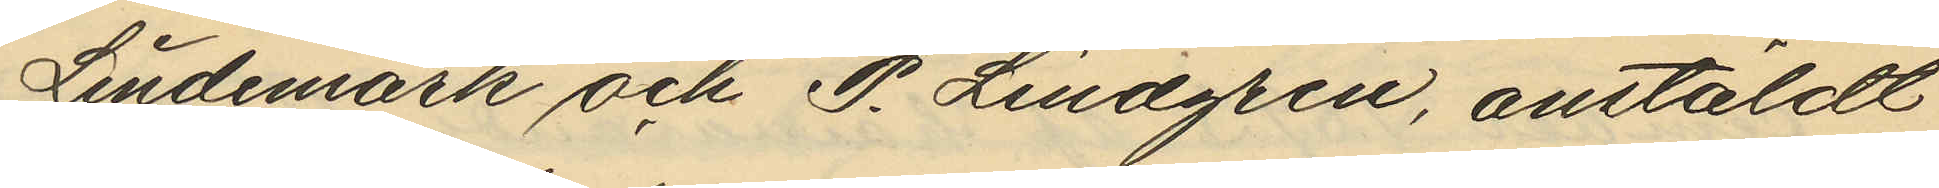Lindemark och P. Lindgren, anstäldt
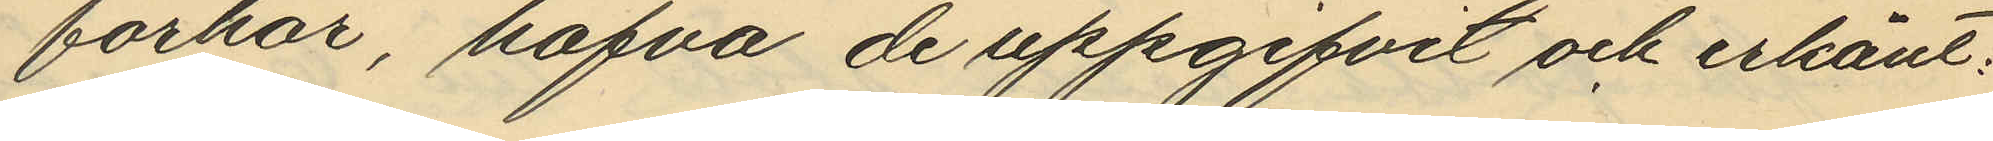förhör, hafva de uppgifvit och erkänt:
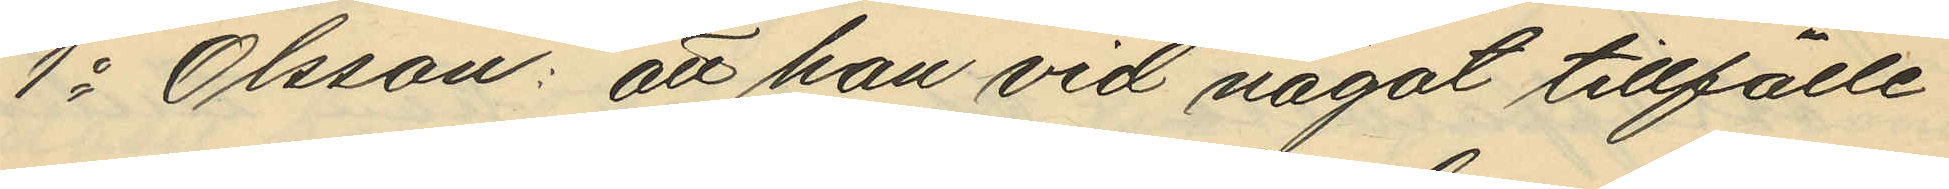1o Olsson: att han vid något tillfälle
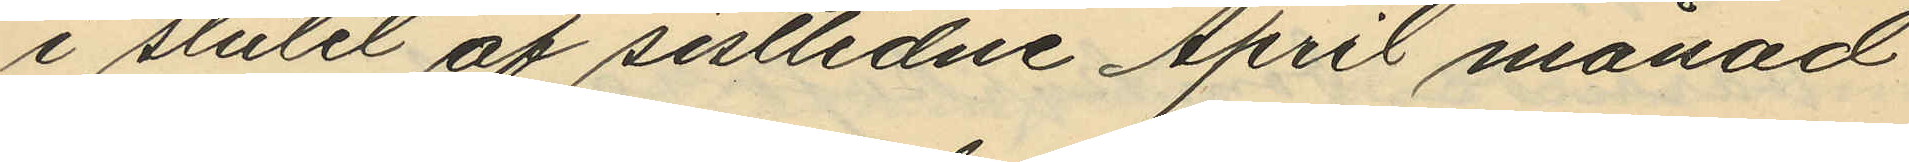i slutet af sistlidne April månad
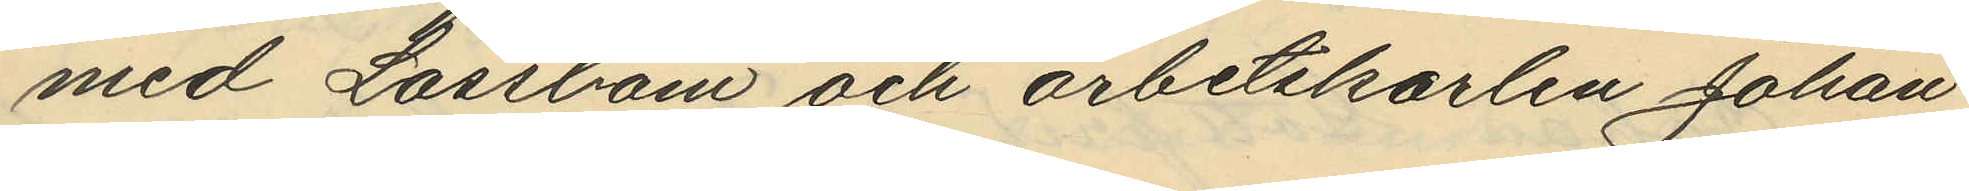med Låssbom och arbetskarlen Johan
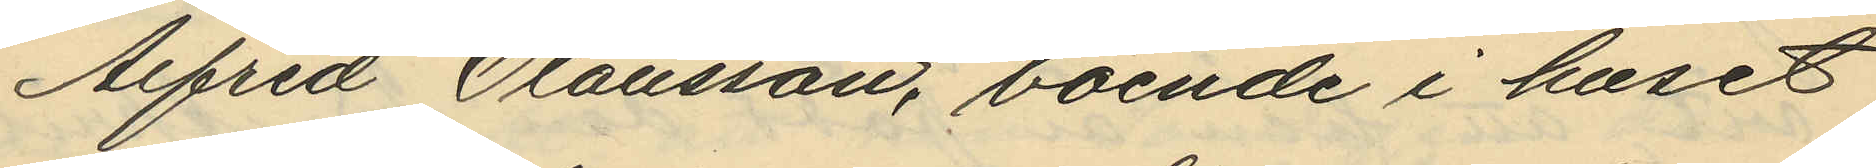Alfred Olausson, boende i huset
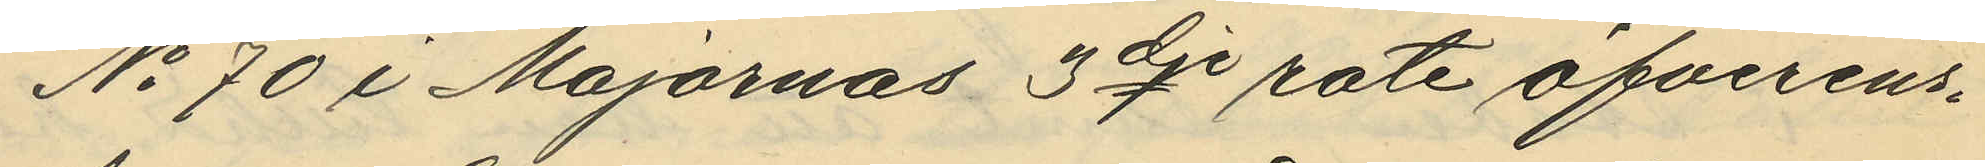No 70 i Majornas 3dje rote öfverens¬
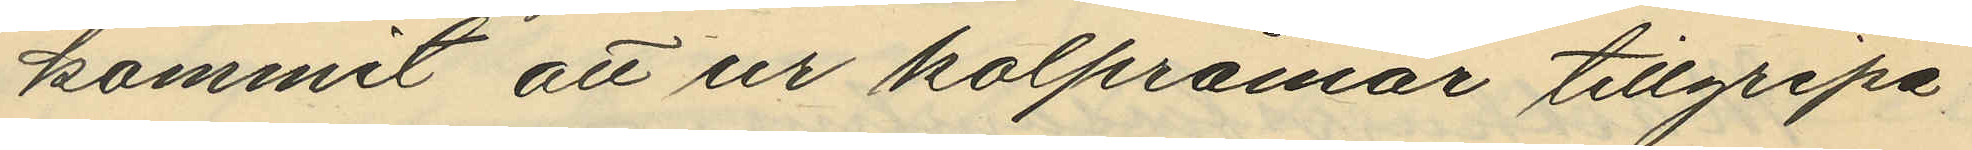kommit att ur kolpråmar tillgripa
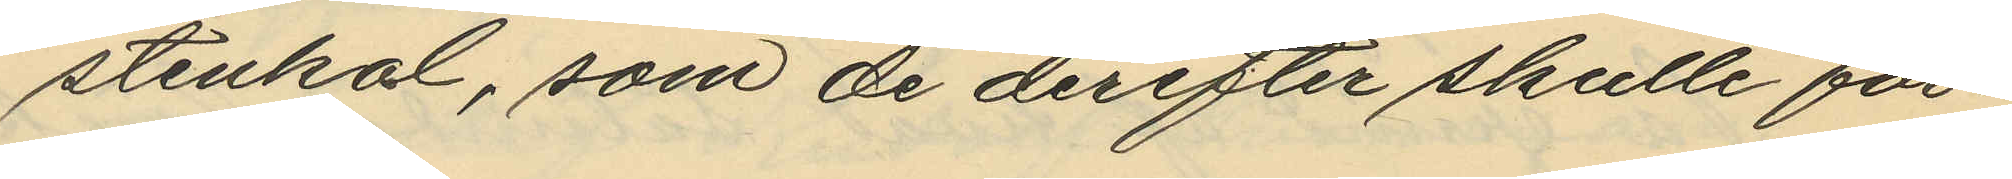stenkol, som de derefter skulle för¬
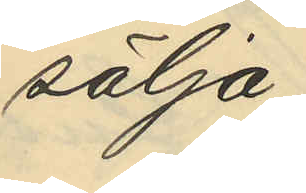sälja;
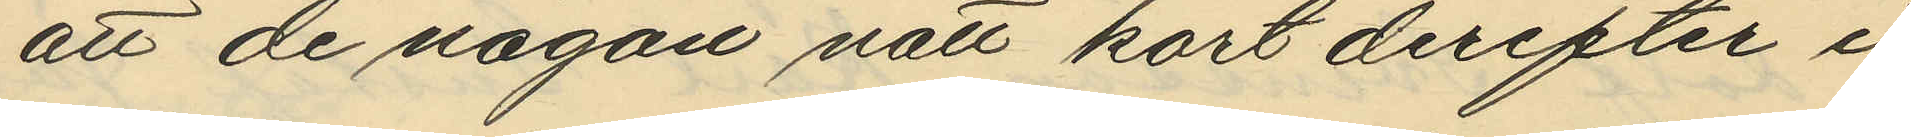att de någon natt kort derefter i
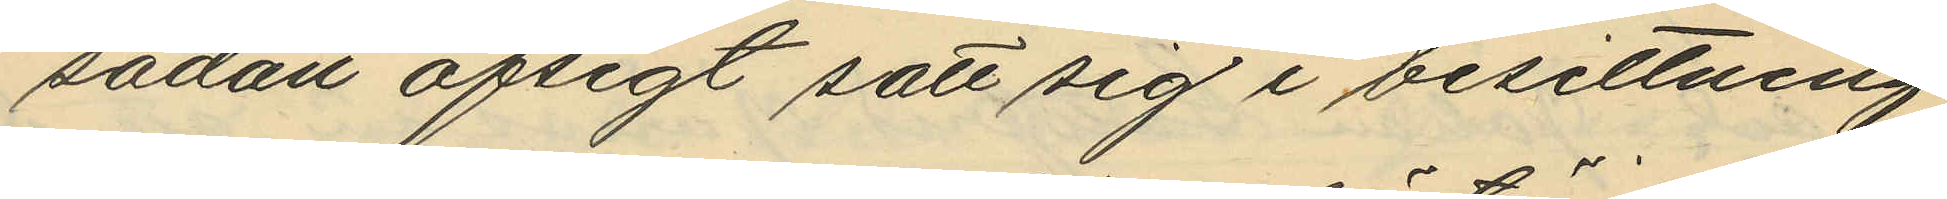sådan afsigt satt sig i besittning
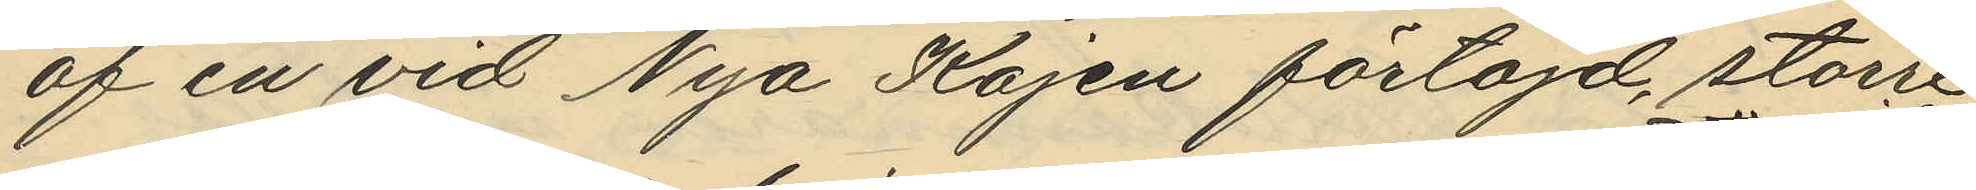af en vid Nya Kajen förtöjd, större
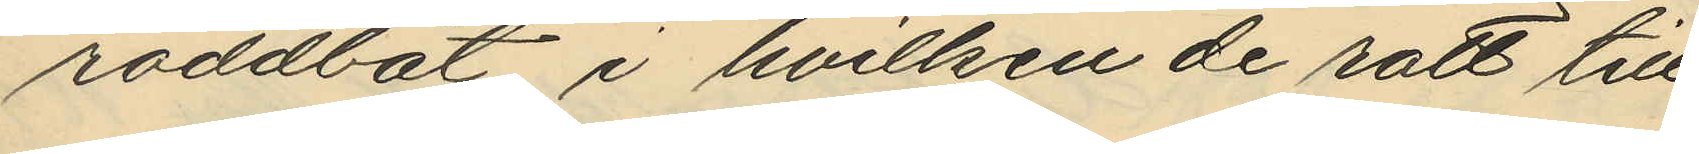roddbåt i hvilken de rott till
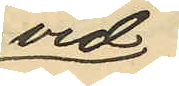vid
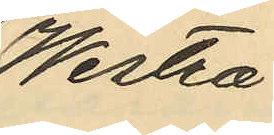Westra
